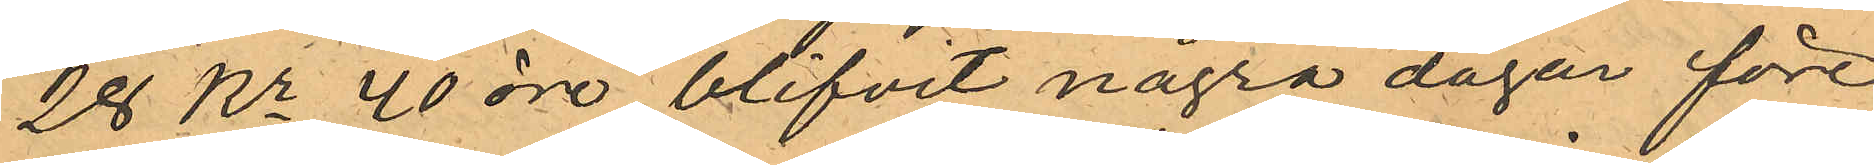28 Kr 40 öre blifvit några dagar före
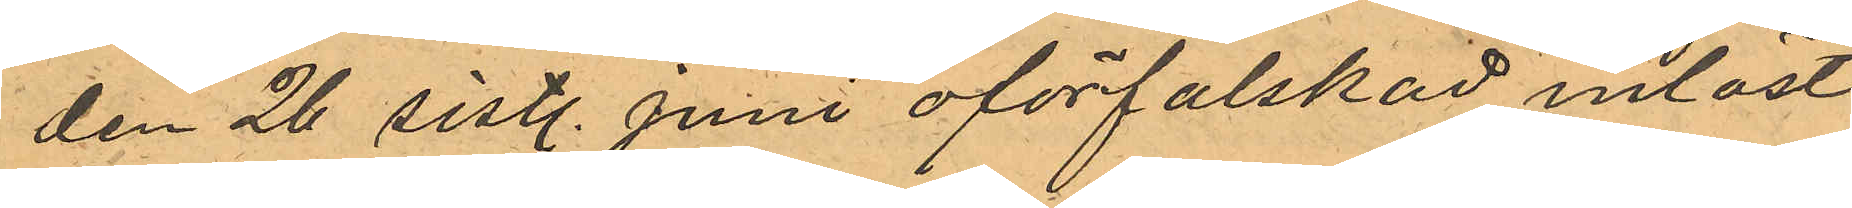den 26 sistl. Juni oförfalskad inlöst
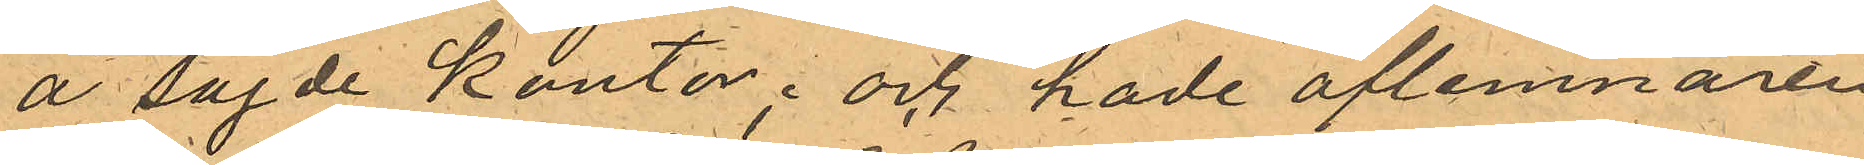å sagde kontor; och hade aflemnaren
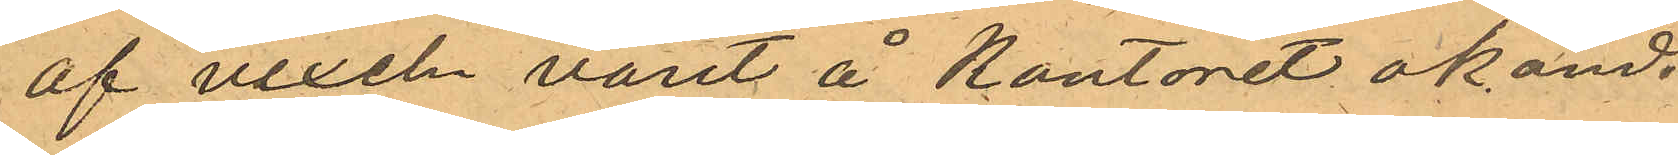af vaxeln varit å Kontoret okänd.
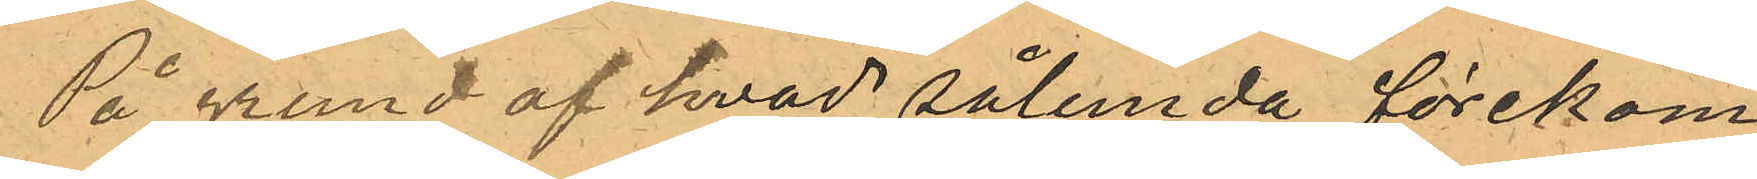På grund af hvad sålunda förekom¬
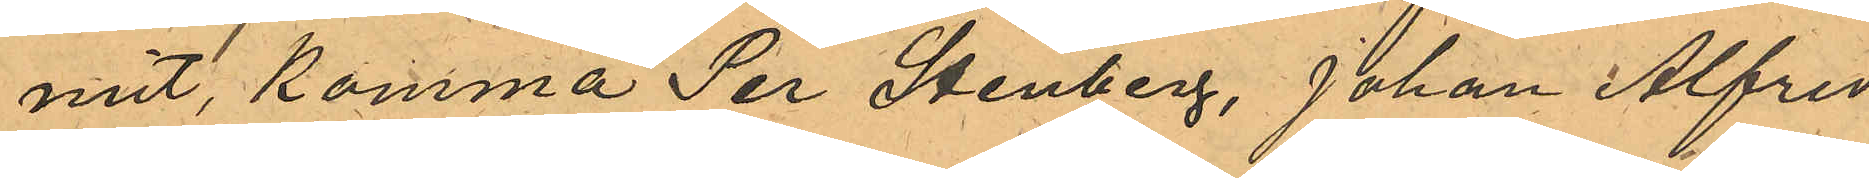mit, komma Per Stenberg, Johan Alfred
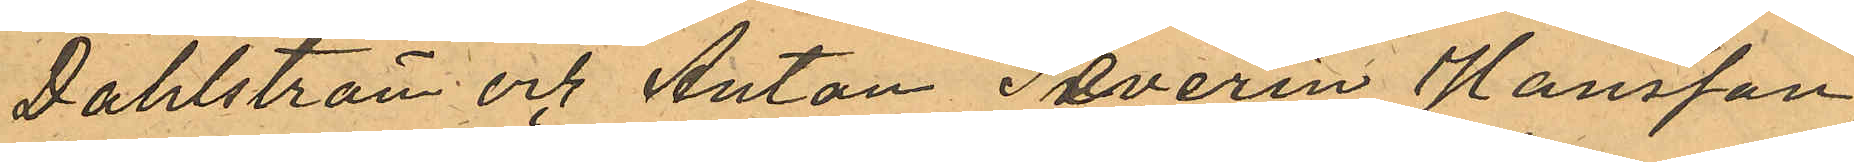Dahlström och Anton Severin Hansson,
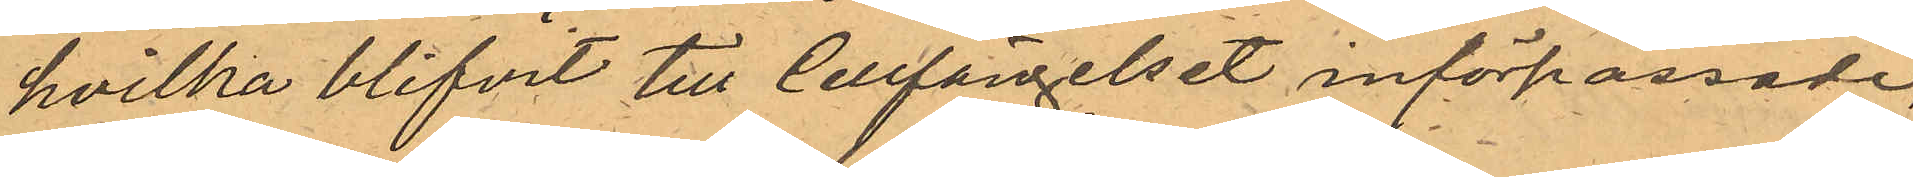hvilka blifvit till Cellfängelset införpassade,
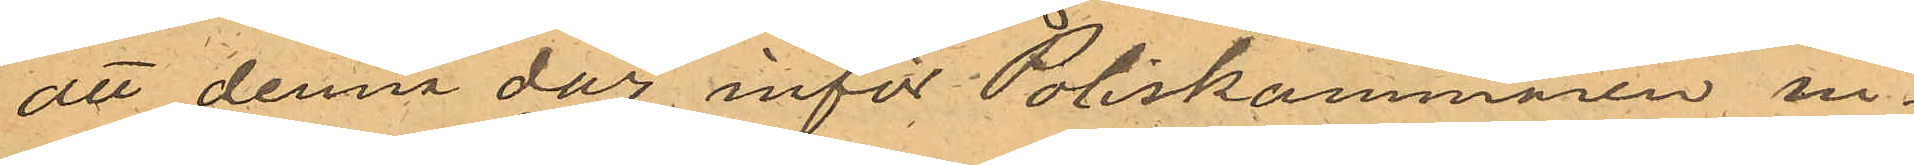att denna dag inför Poliskammaren in¬
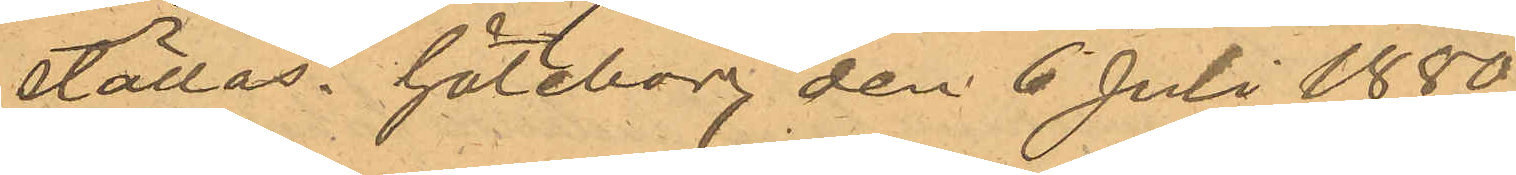ställas. Göteborg den 6 Juli 1880.
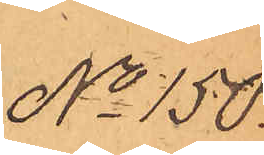No 150.
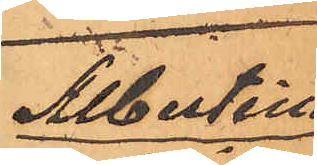Albertina
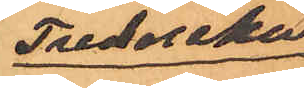Frederika
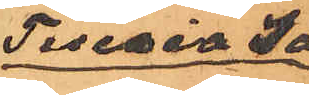Teresia Ja¬
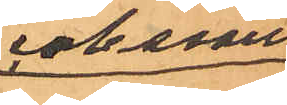cobsson
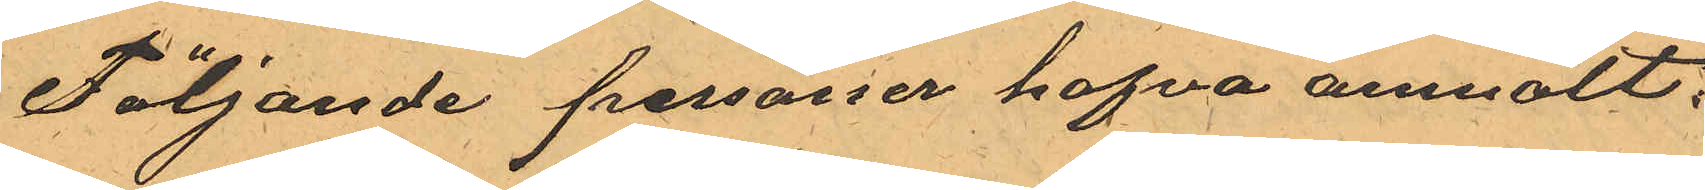Följande personer hafva anmält:
